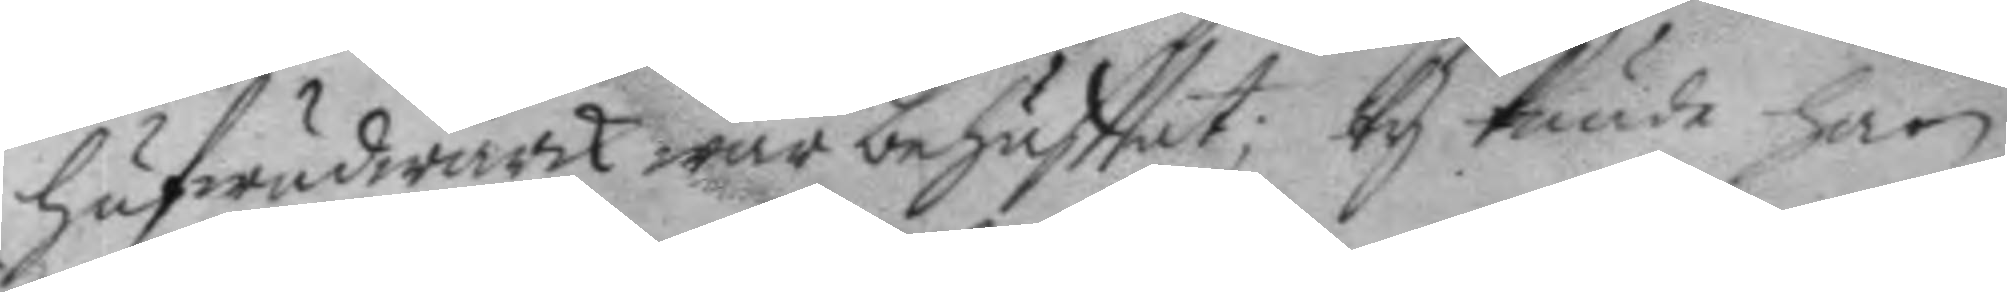hufwudwärk war behäfttat; ty kunde han
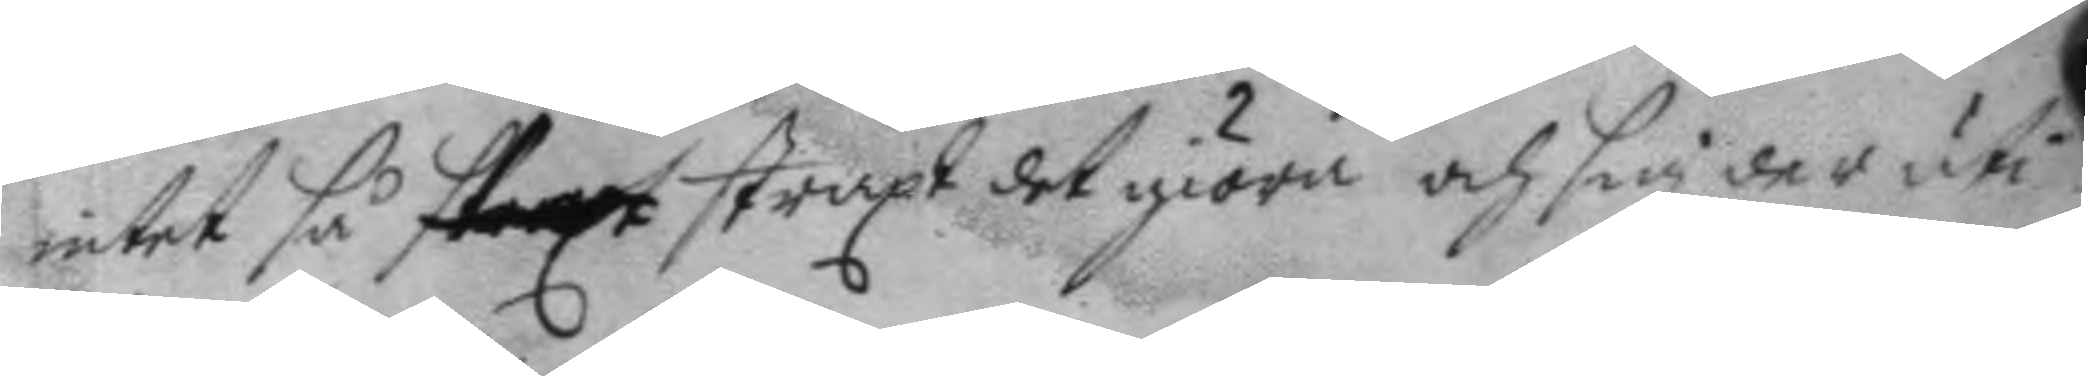intet så straxt straxt det giöra och sig der uti
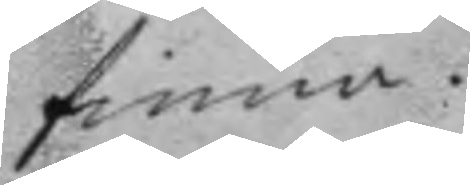finna.
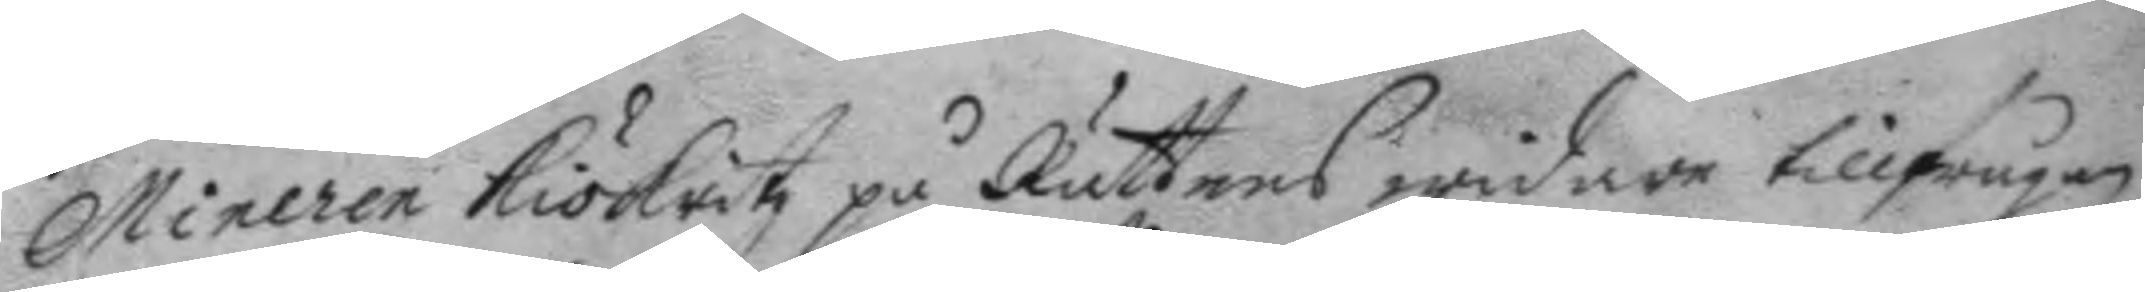Mineren Kökritz på Rättens widare tillfrågan
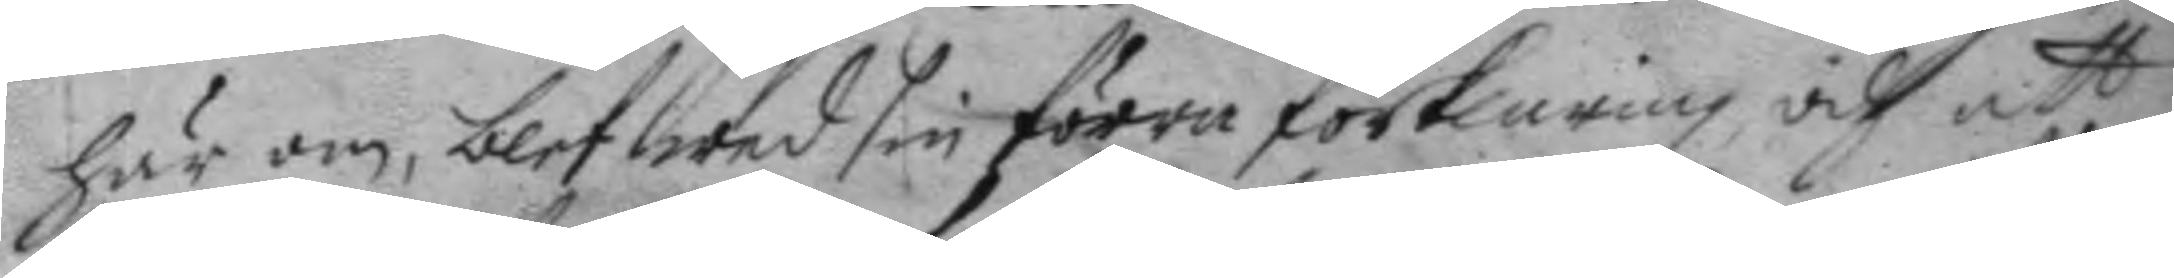här om, blef wed sig förra förklaring och att
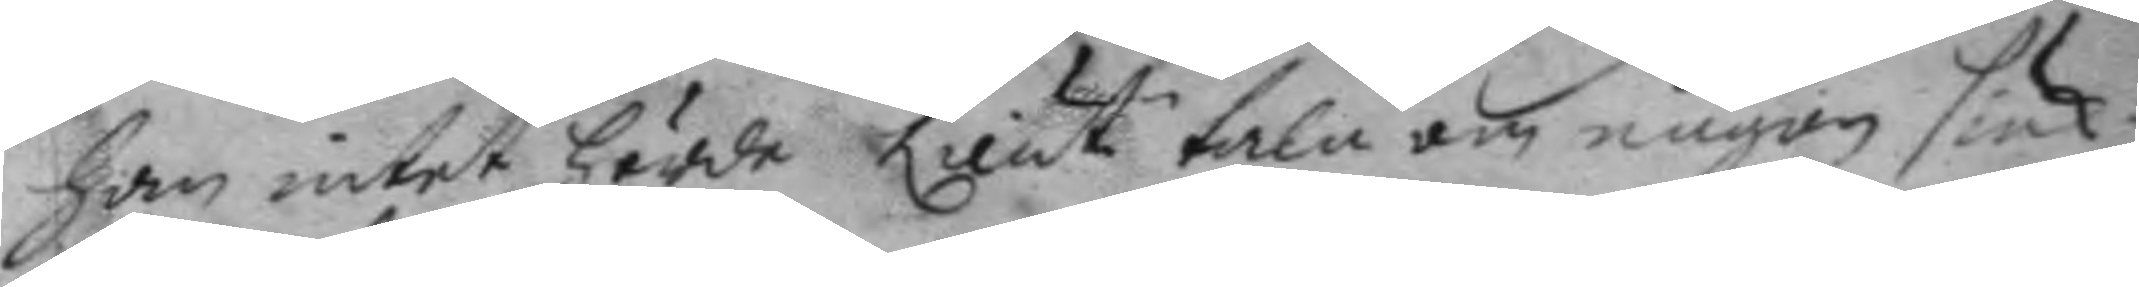han intet hörde Lieut.n tala om någon siuk¬
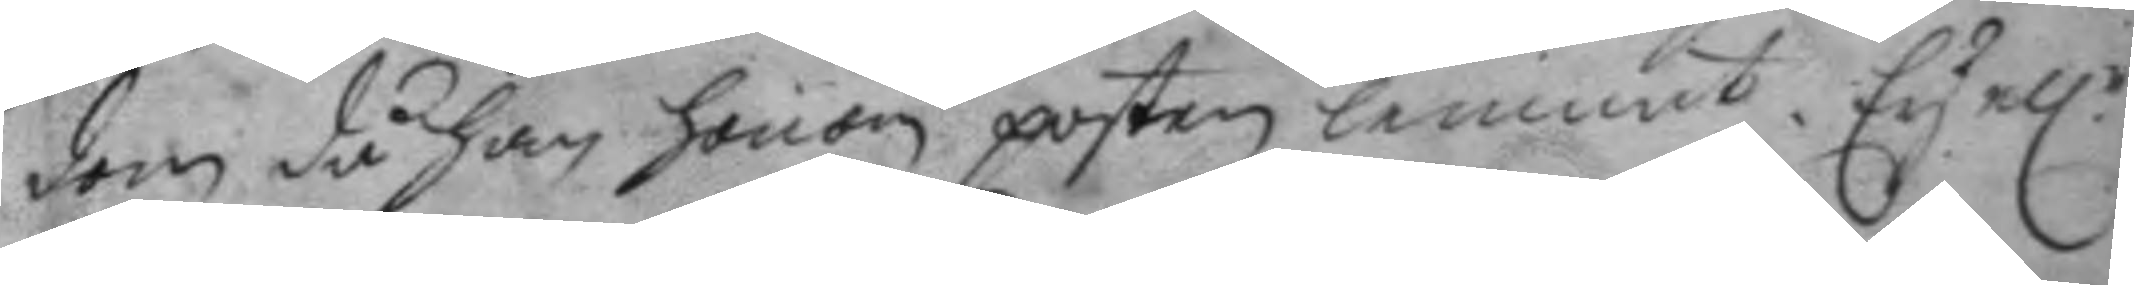dom då han honom posten lemnat. Ey el.r
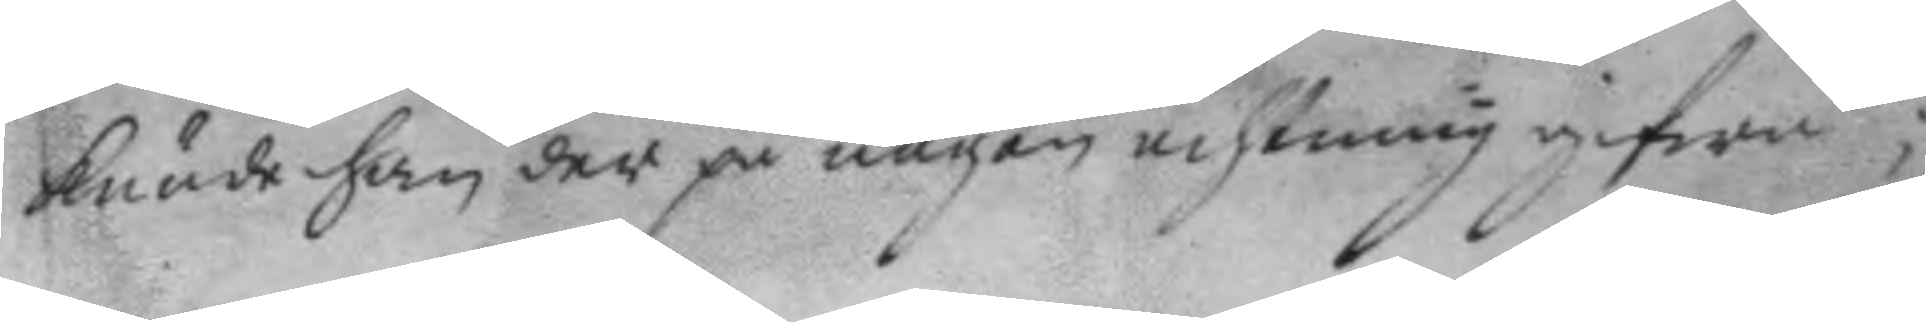kunde han der på någon achtning gifwa;
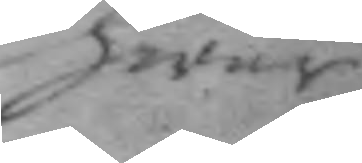hwar
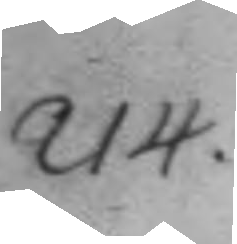214.
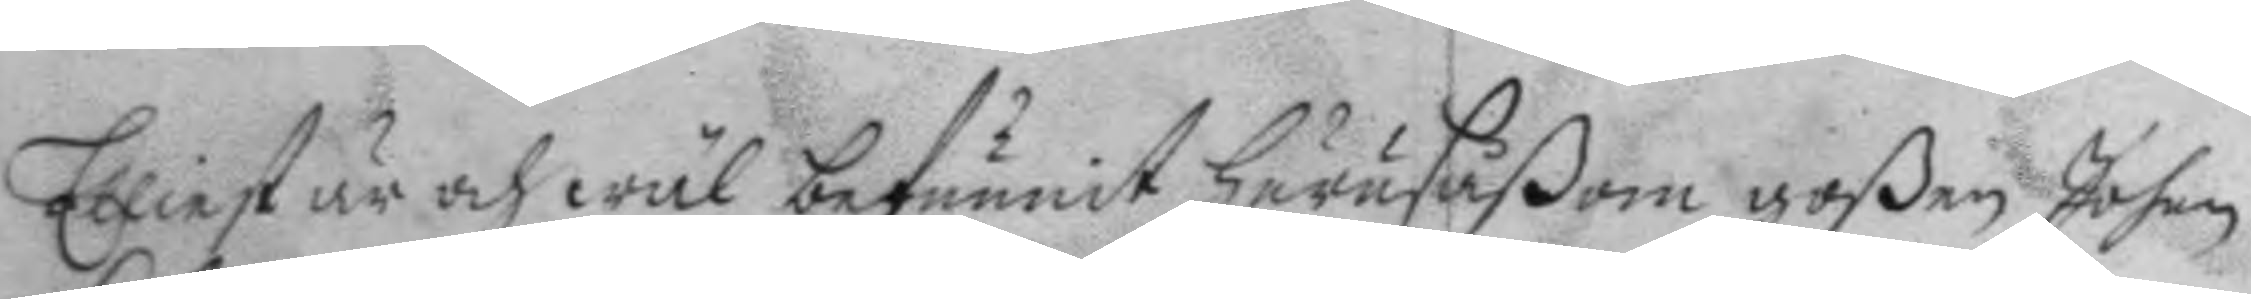Elliest är och wäl befunnit hurusåßom goßen Johan
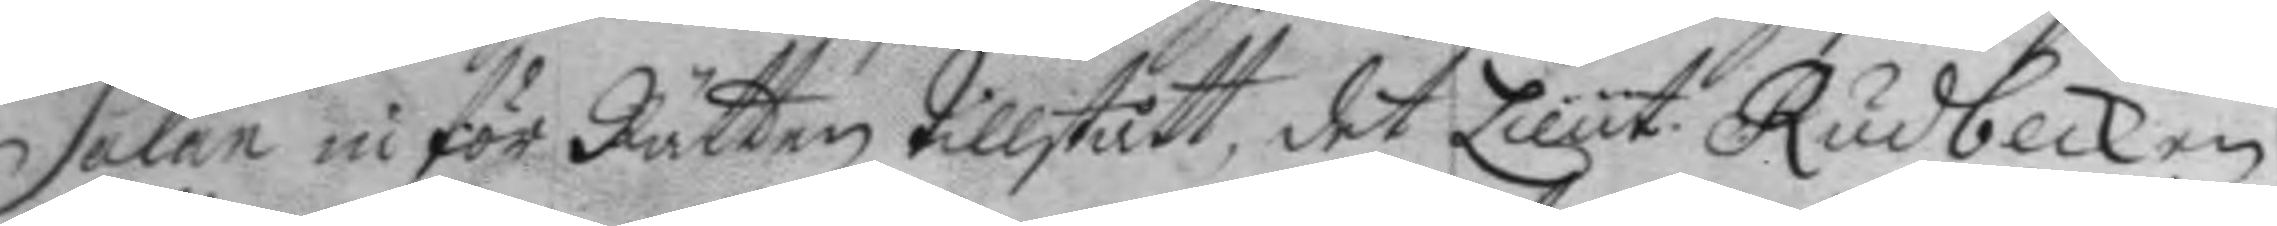Salan inför Rätten tillstått, det Lieut. Rudbeck en
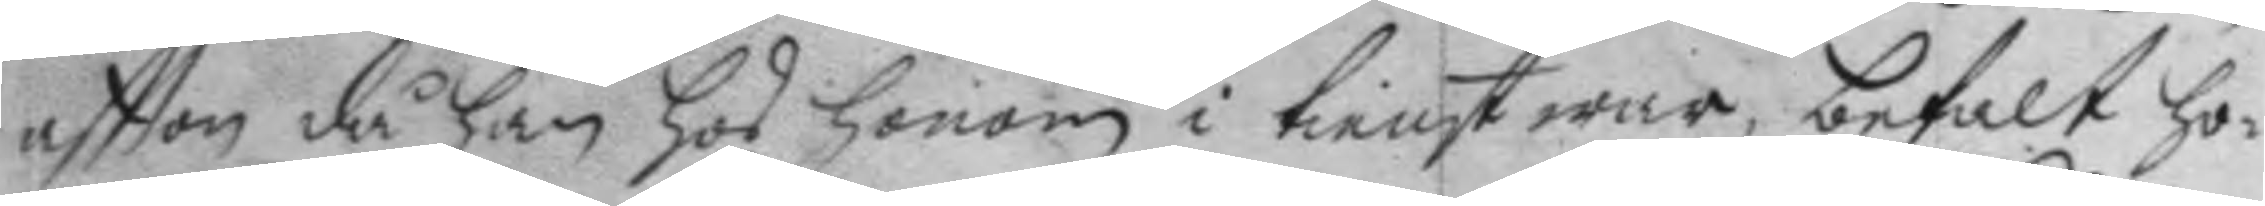aftton då han hos honom i tienst war, befalt ho¬
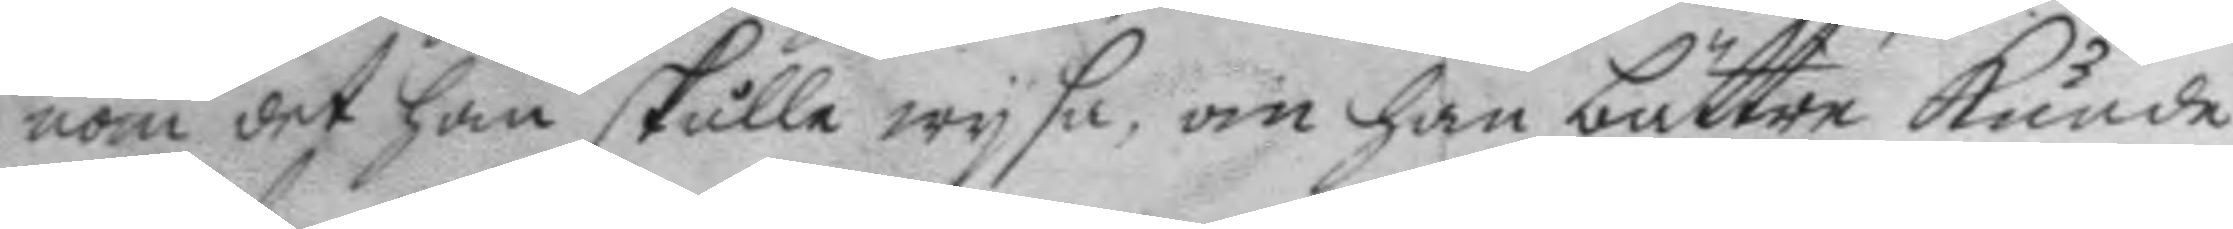nom det han skulle wysa, om han bättre kunde
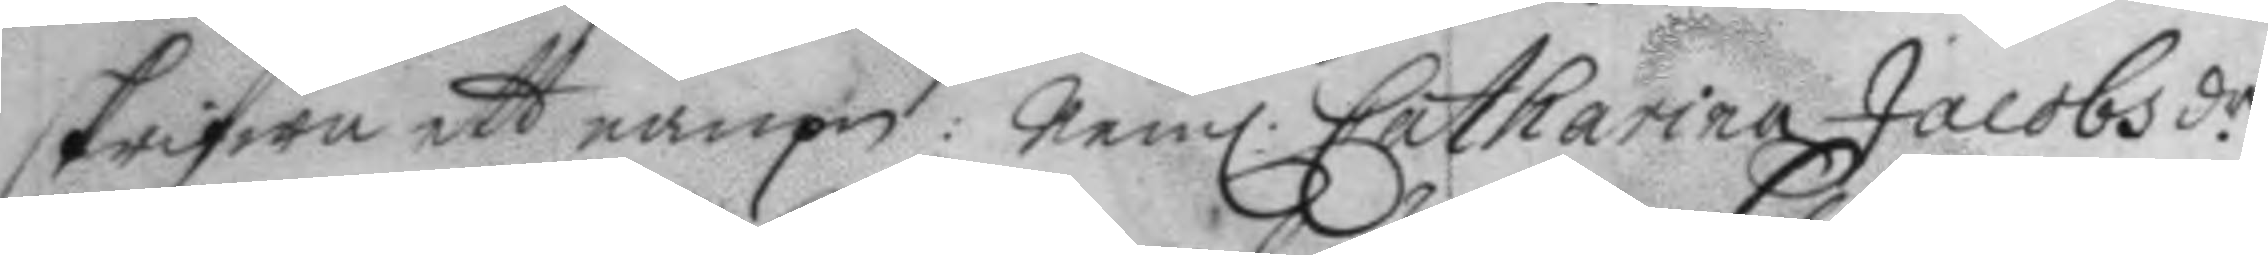skrifwa ett nampn: nem. Catharina Jacobsdr.
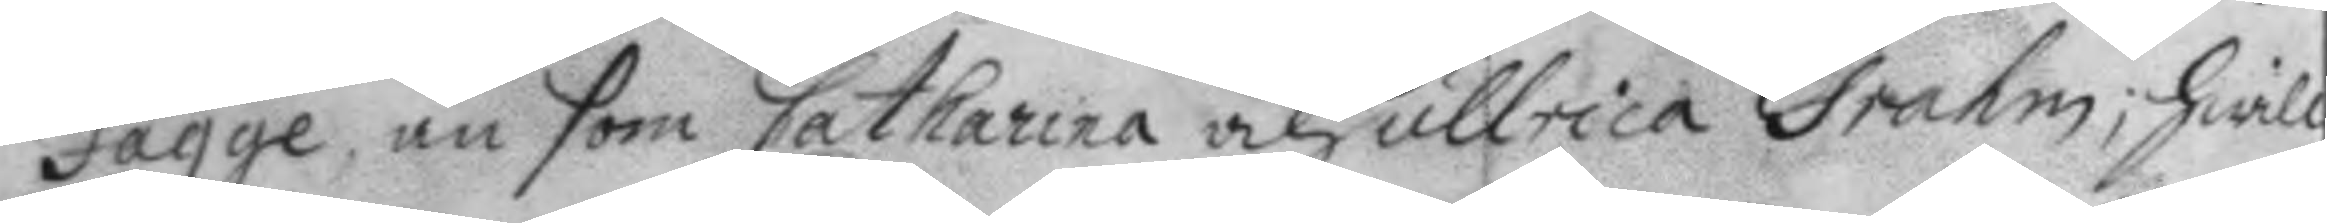Fagge, än som Catharina och Ullrica Grahm; hwill¬
